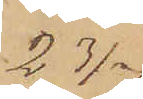23/7
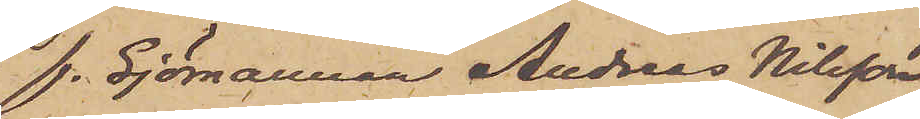f. Sjömannen Andreas Nilsson
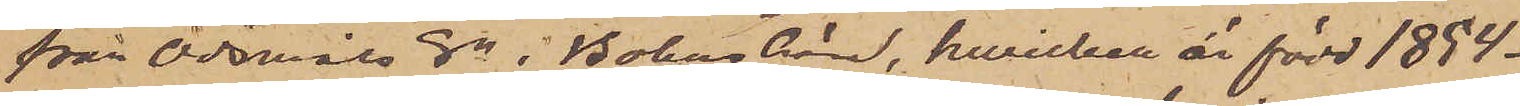från Odsmåls Sn i Bohus län, hwilken är född 1854
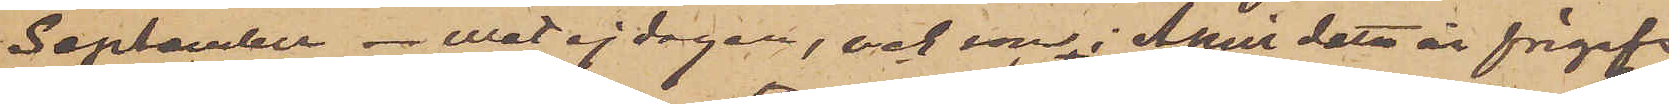September - vet ej dagen, och som i April detta år frigafs
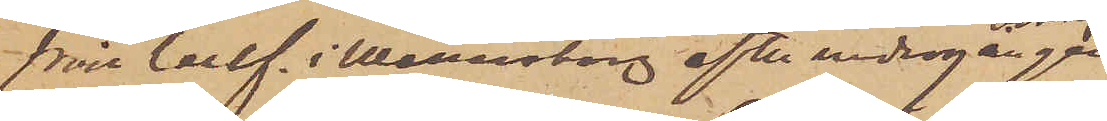från Cellf. i Wenersborg efter undergången
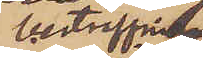bestraffning
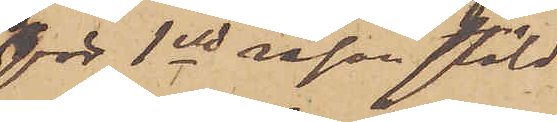för 1sta resan stöld
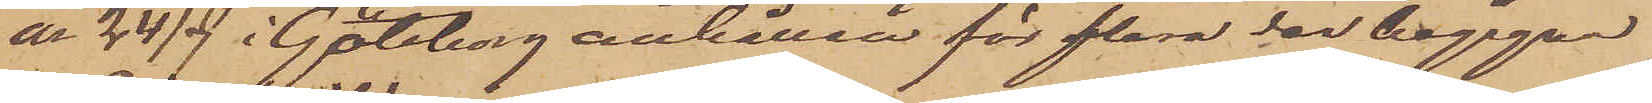är 24/7 i Göteborg anhållen för flera der begågna
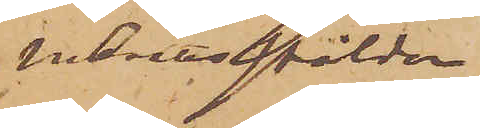inbrottsstölder.
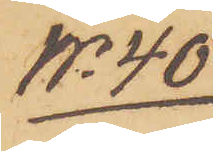No 40
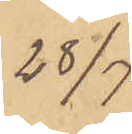28/7
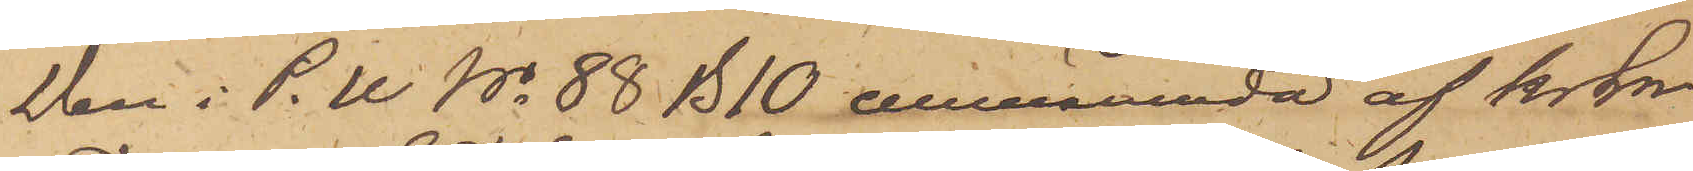Den i P.U No 88 B10 omnämnda af krln
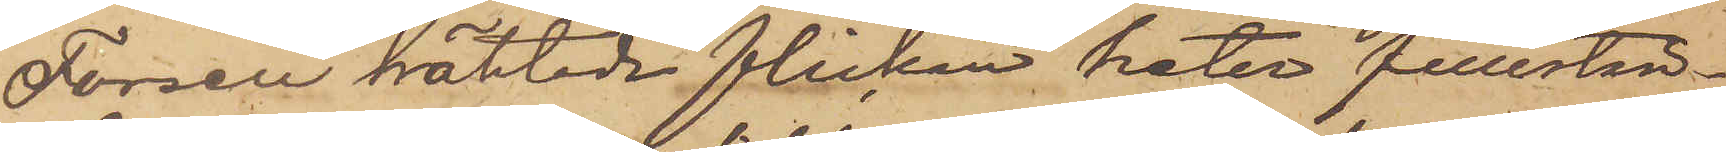Forsell häktade flickan heter fullstän¬
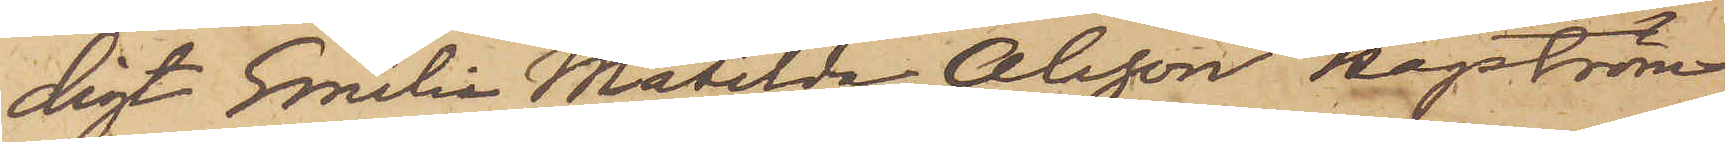digt Emilia Matilda Olsson Hagström
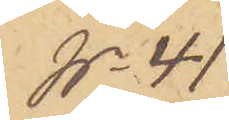No 41
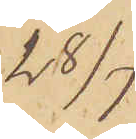28/7
